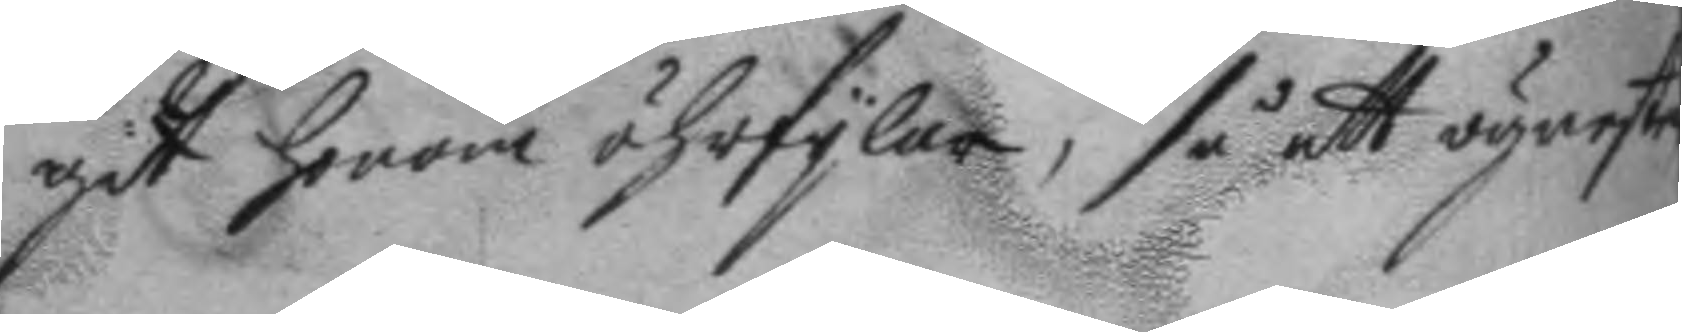git honom öhrfylar, så att ögneste
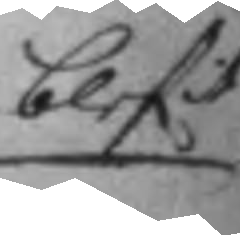blefit
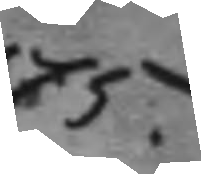175.
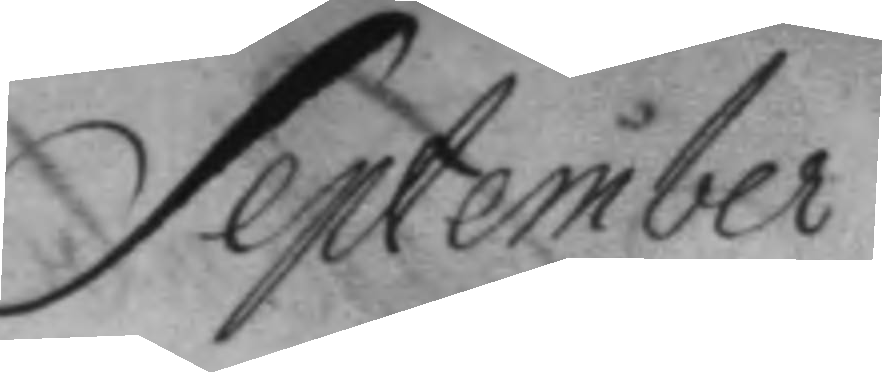September
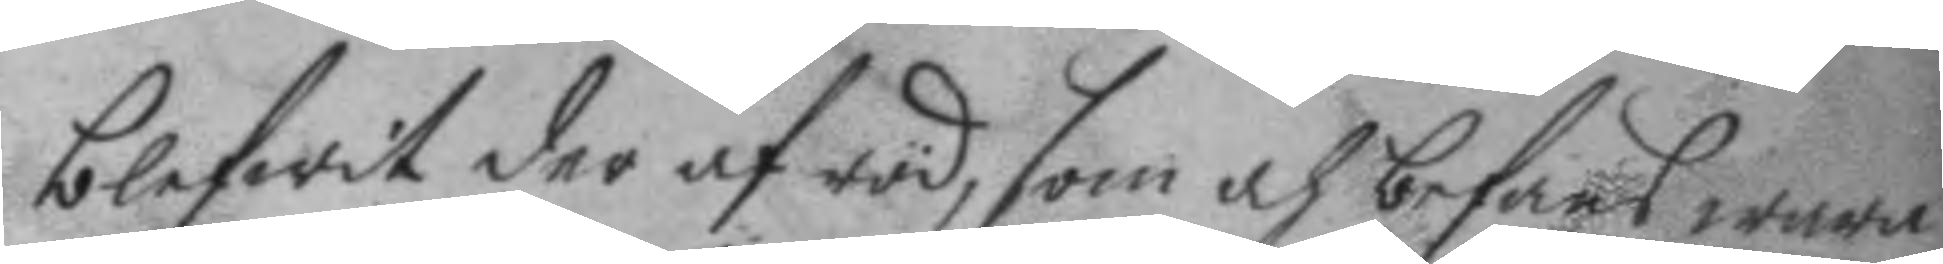blefwit der af röd, som och befans wara
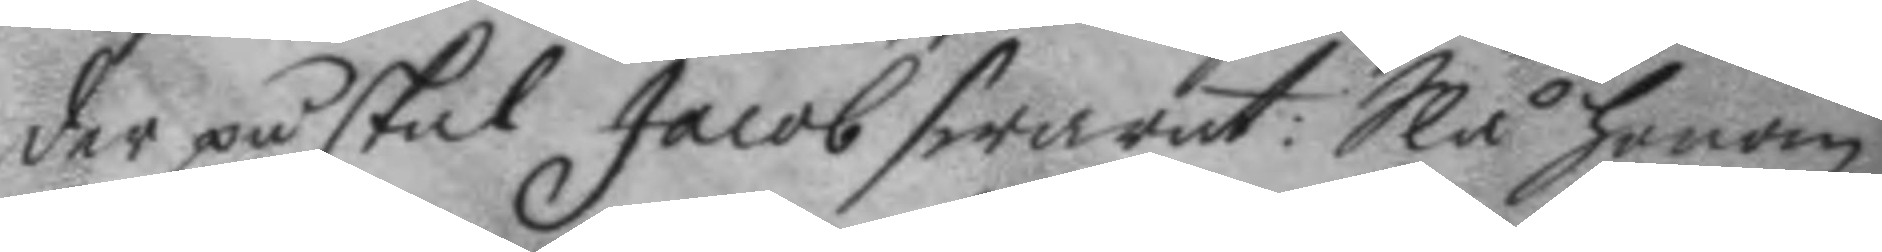der på skal Jacob swarat: Slå honom
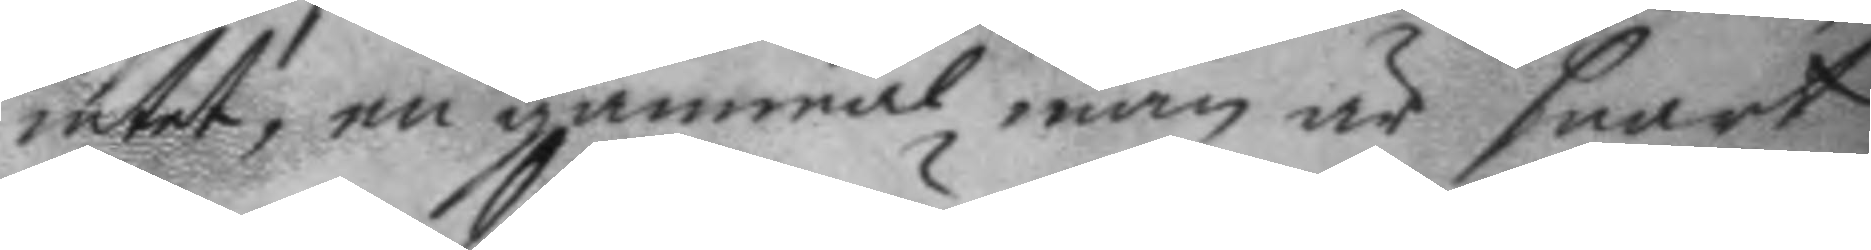intet, en gammal man är snart
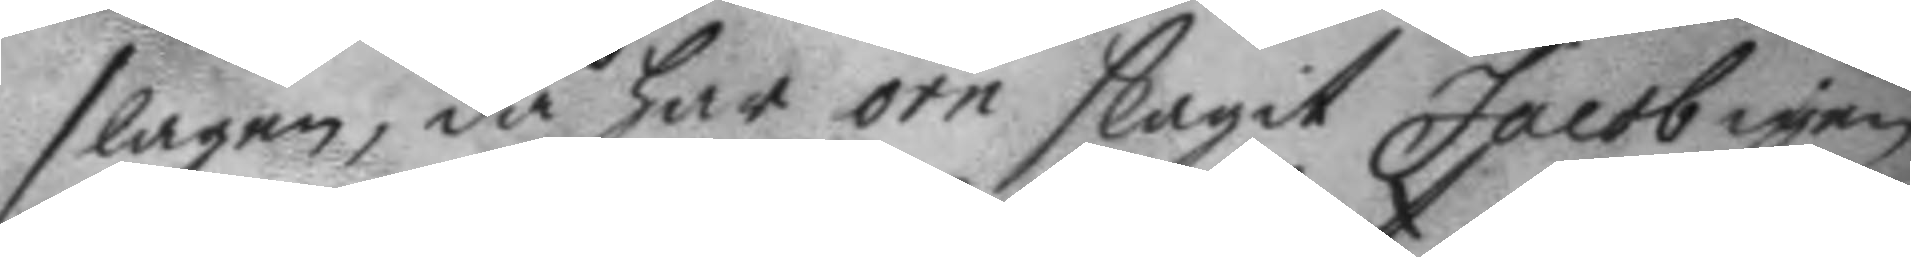slagen, då har örn slagit Jacob igen
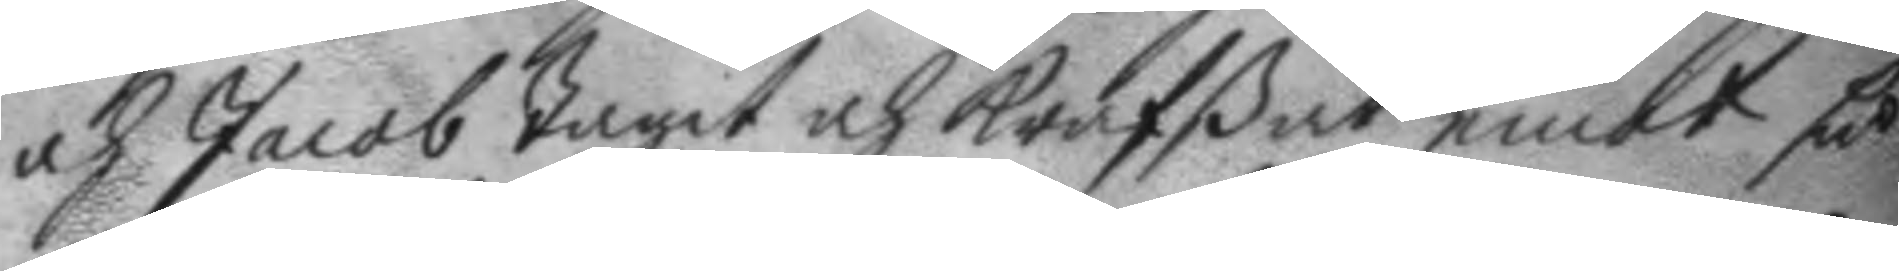och Jacob tagit och krafßat emot så
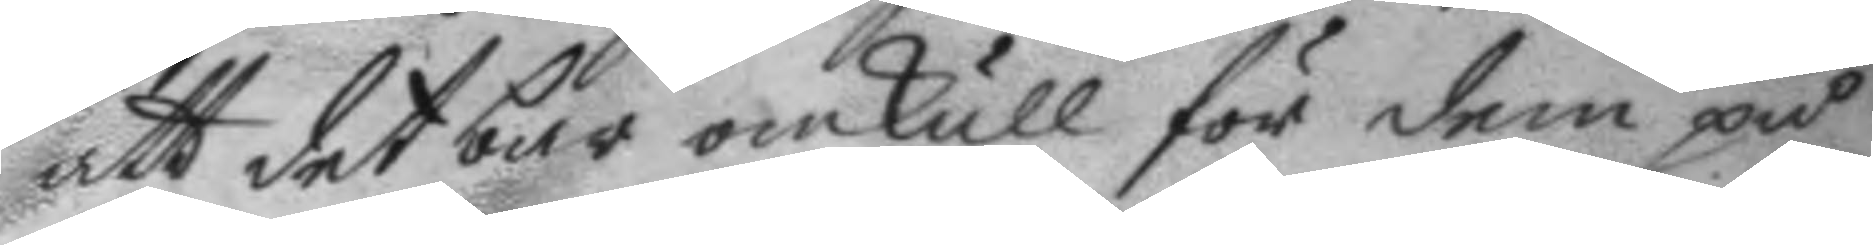att det bar omkull för dem på
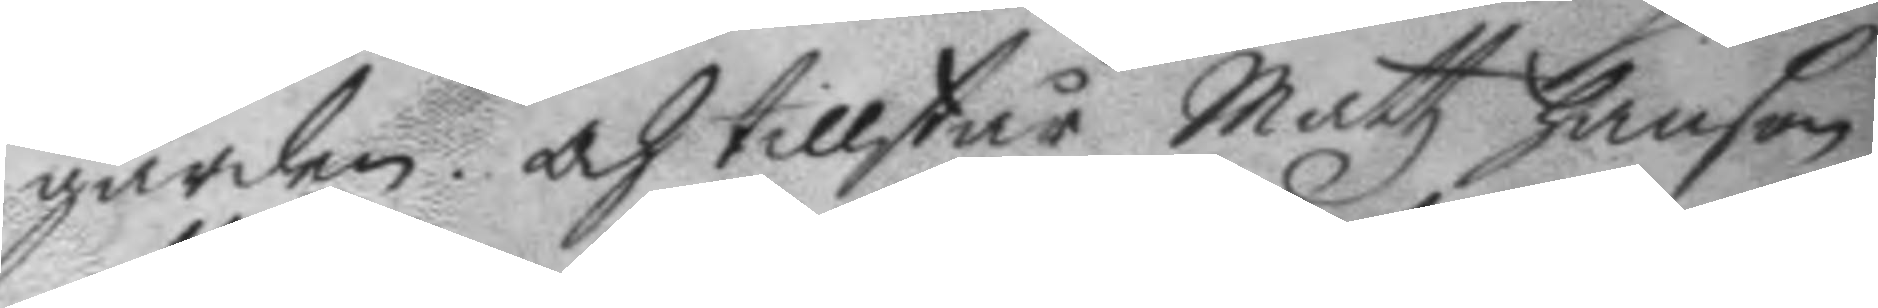gården. Och tillstår Mattz hanson
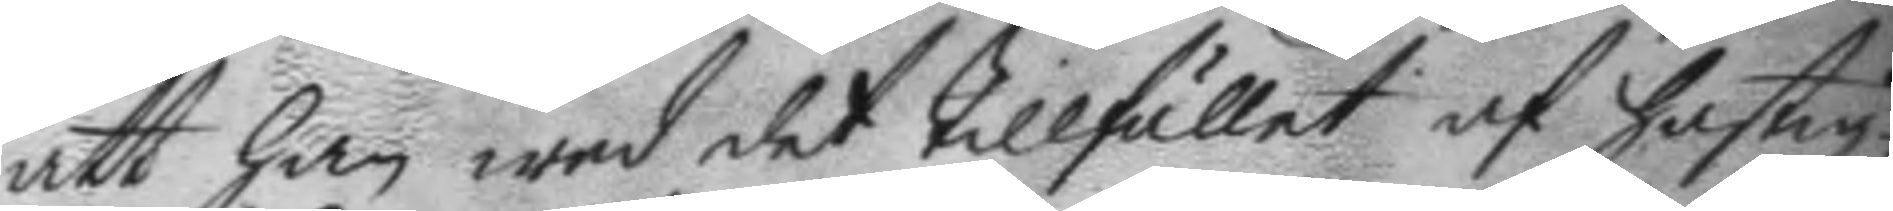att han wed det tillfället af hastig¬
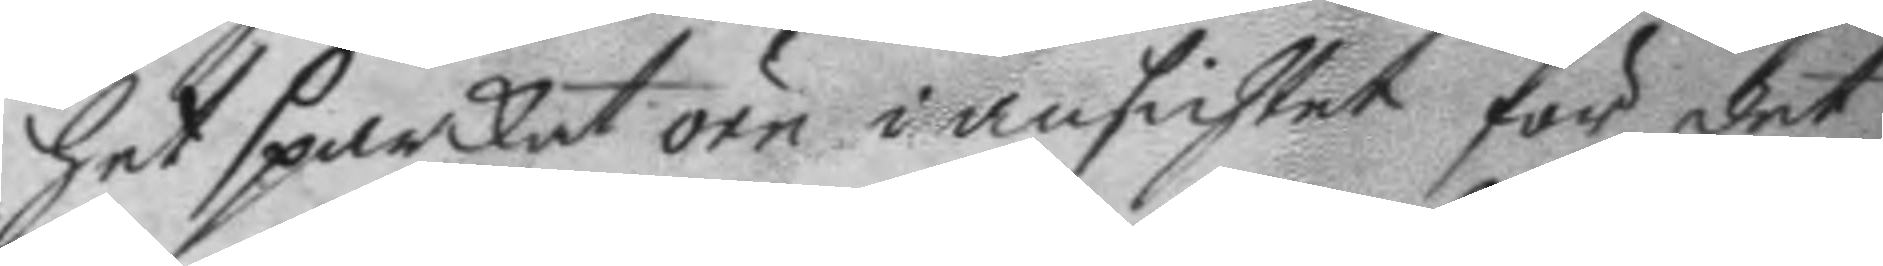het sparkat örn i ansichtet för det
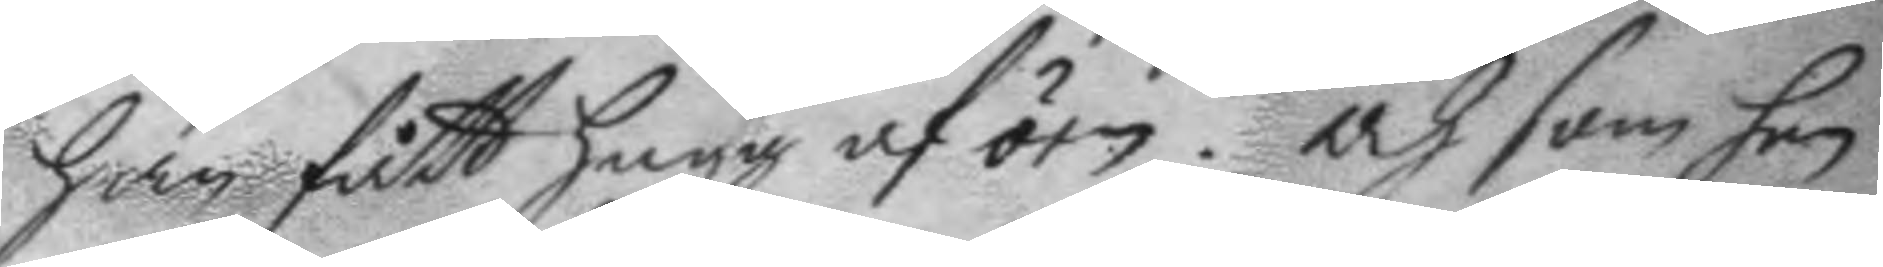han fått hugg af örn. och som han
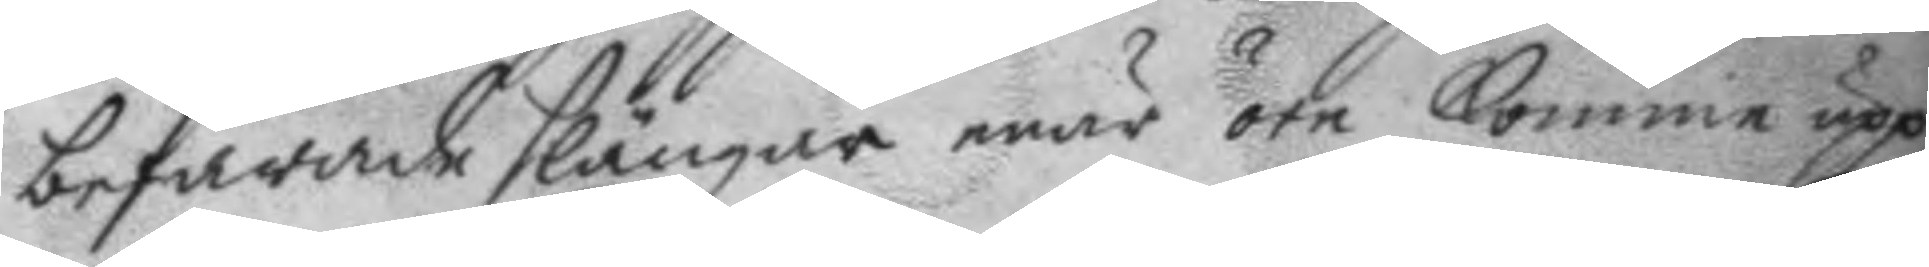befarade slängar enär örn komme upp
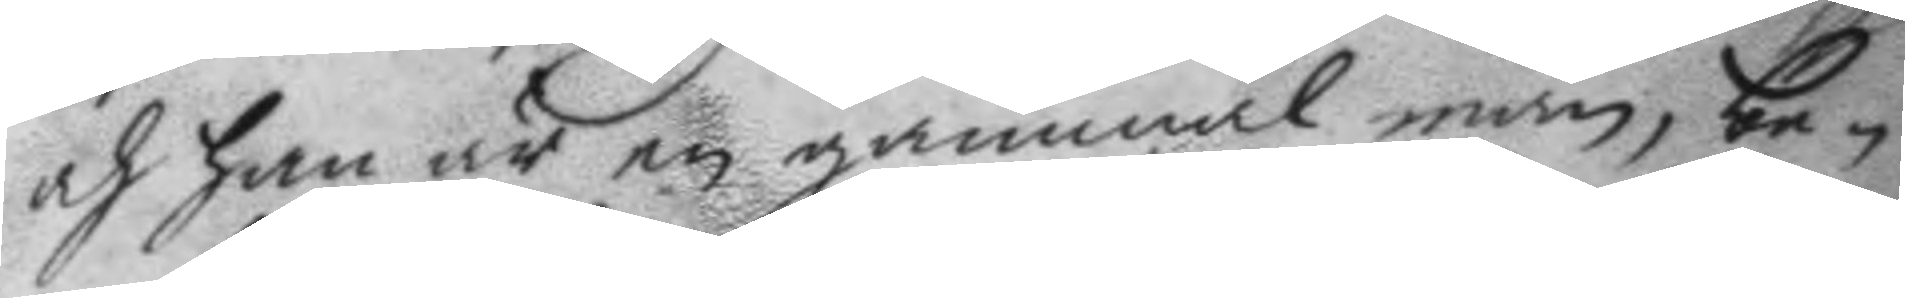och han är en gammal man, be¬
